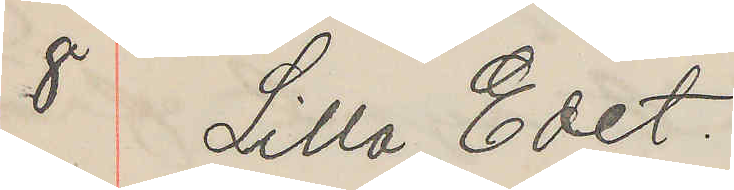8 Lilla Edet.
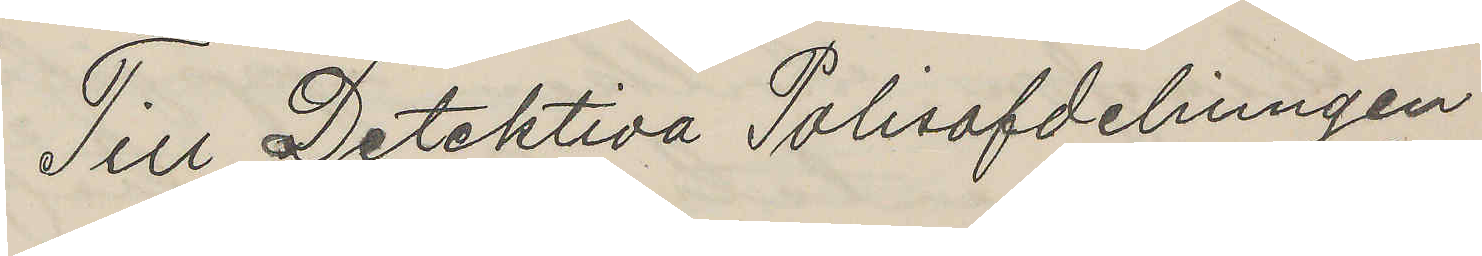Till Detektiva Polisafdelningen
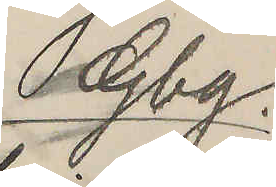Gbg.
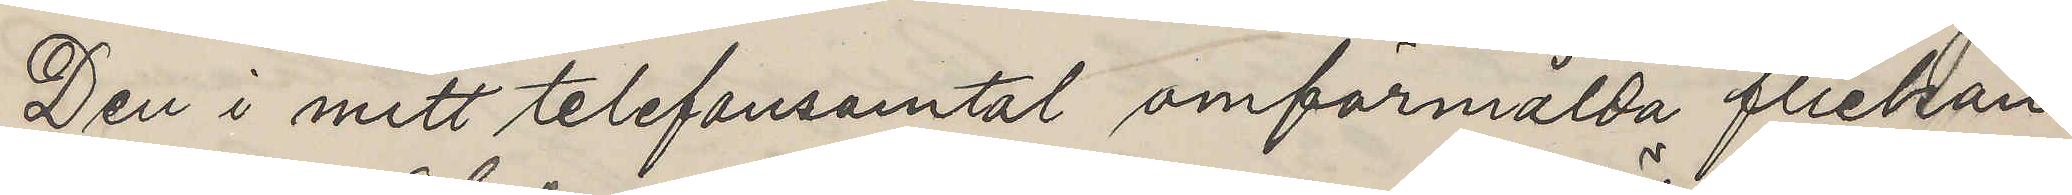Den i mitt telefonsamtal omförmälda flickan
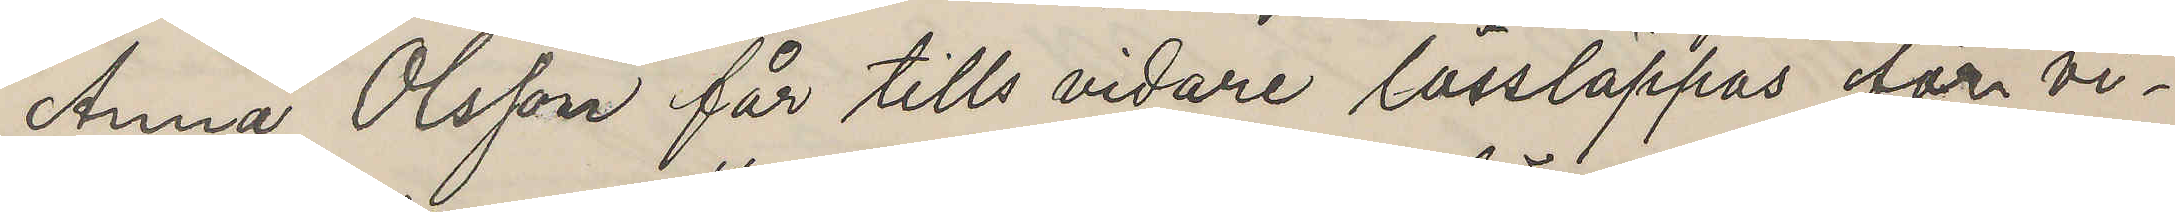Anna Olsson får tills vidare lössläppas före vi¬
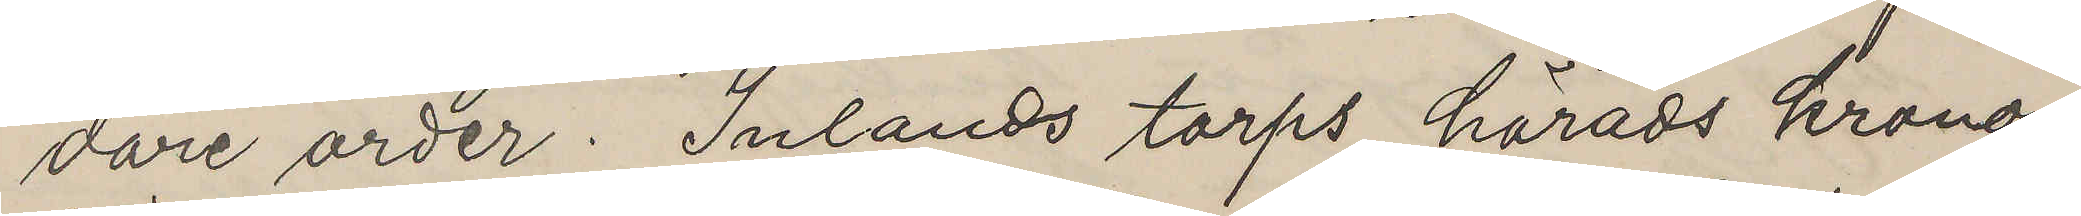dare order. Inlands torps härads krono¬
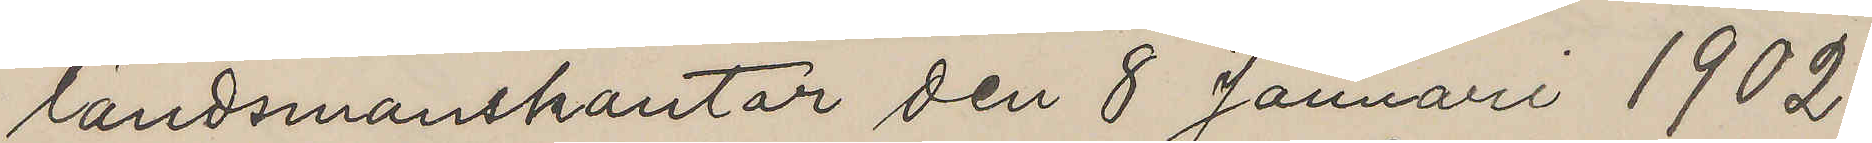ländsmanskontor den 8 Januari 1902.
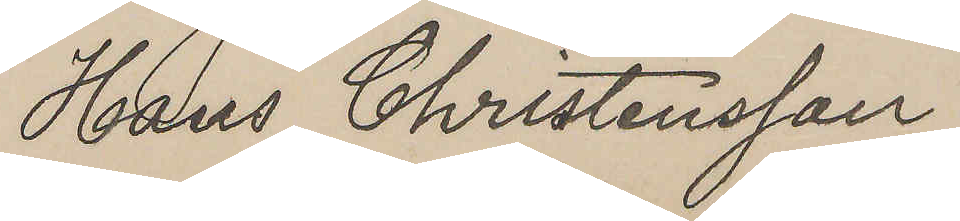Hans Christensson
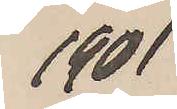1901
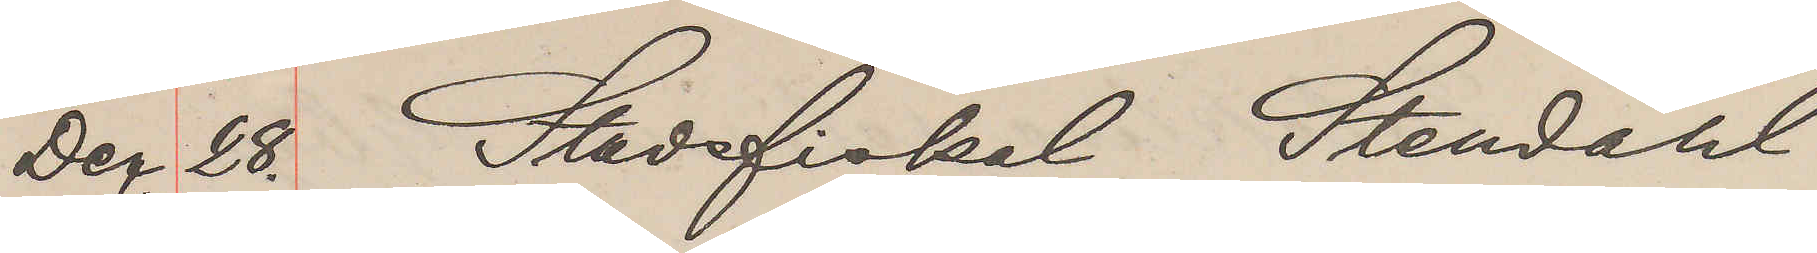Der. 28. Stadsfiskal Stendahl
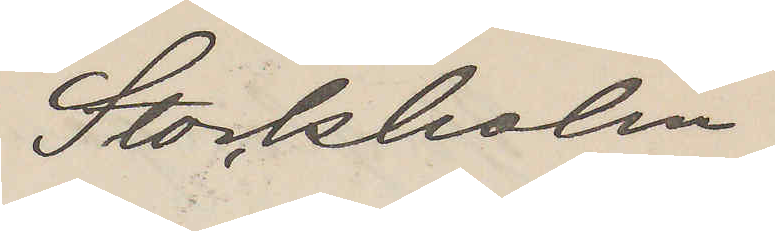Stockholm.
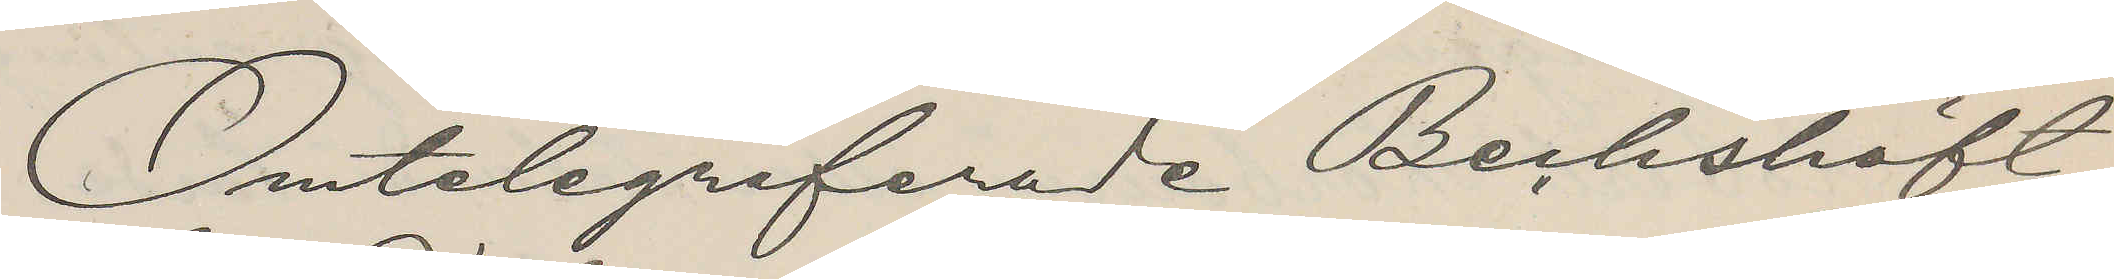Omtelegraferade Beckshöft
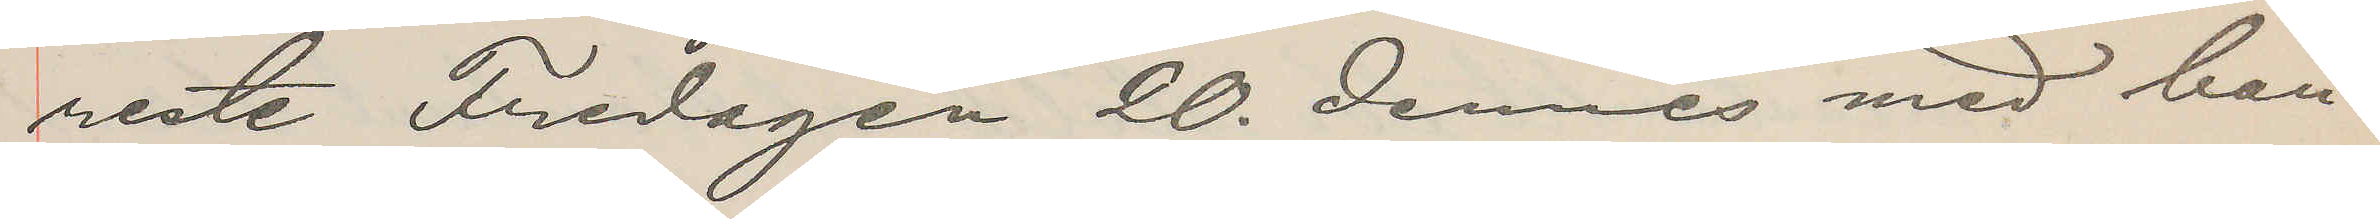reste Fredagen 20. dennes med ban¬
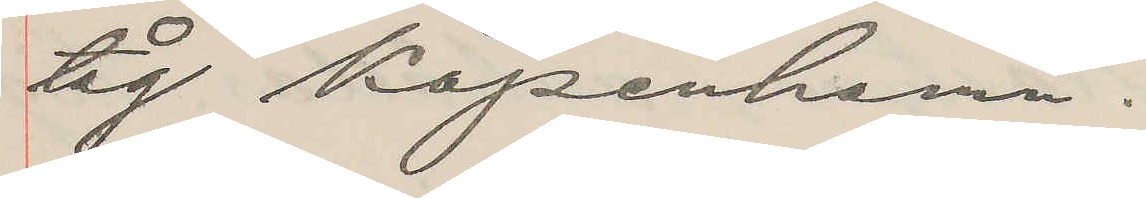tåg Köpenhamn.
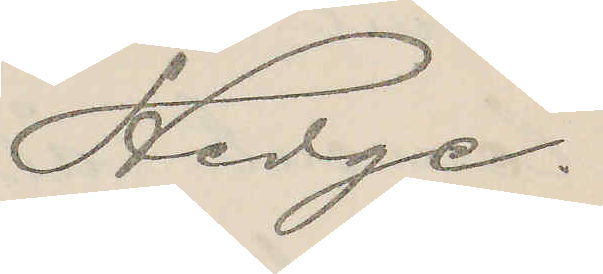Hedge.
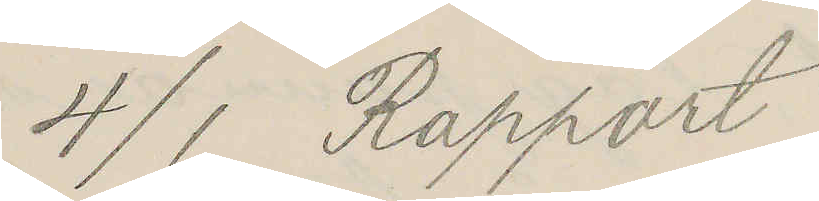4/1 Rapport
